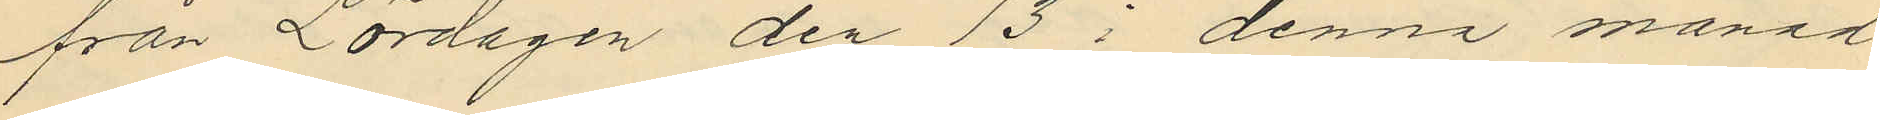från Lördagen den 13 i denna månad
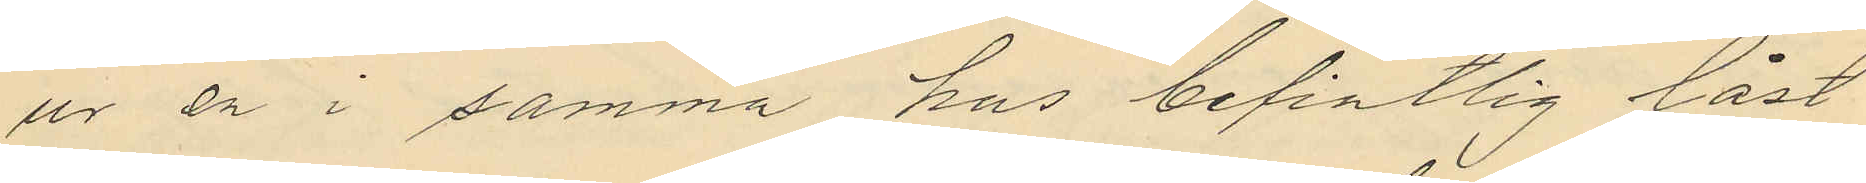ur en i samma hus befintlig låst
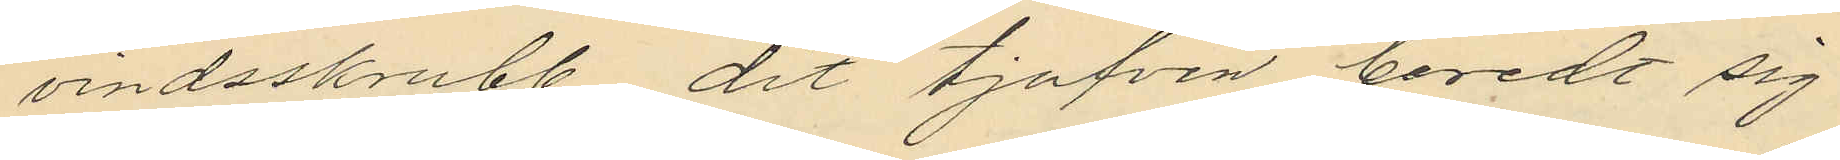vindsskrubb dit tjufven beredt sig
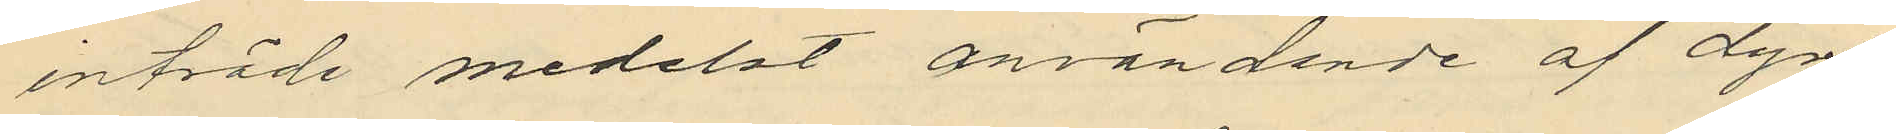inträde medelst användande af dyrk
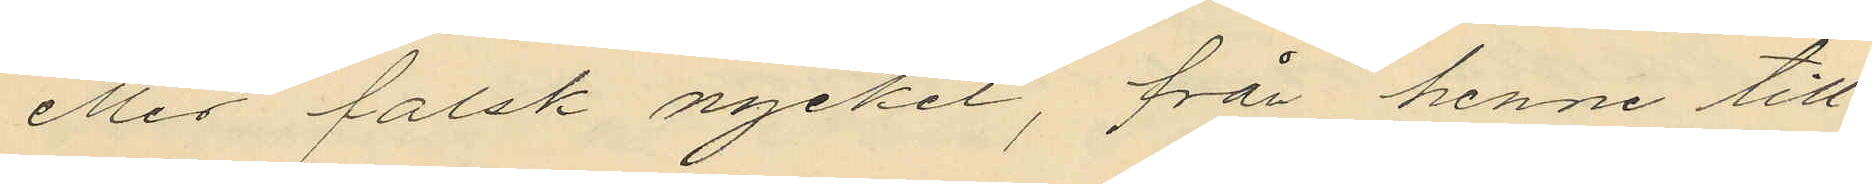eller falsk nyckel, från henne till¬
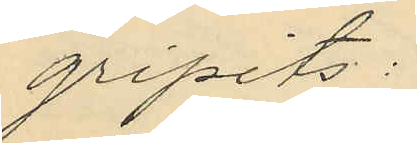gripits:
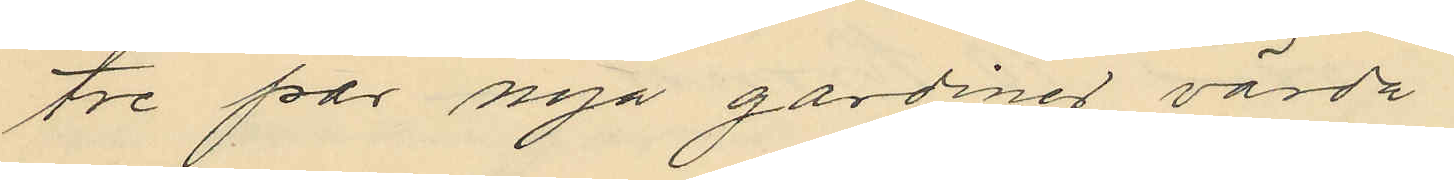tre par nya gardiner värda
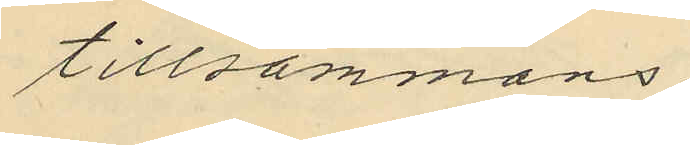tillsammans
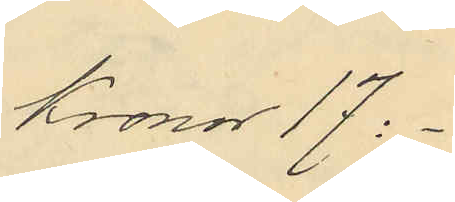Kronor 17:-
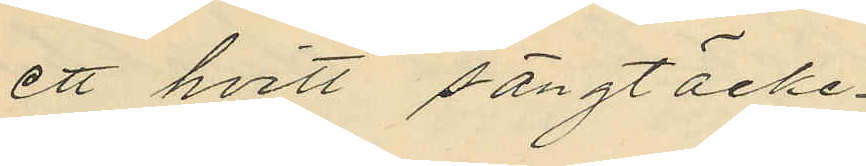ett hvitt sängtäcke
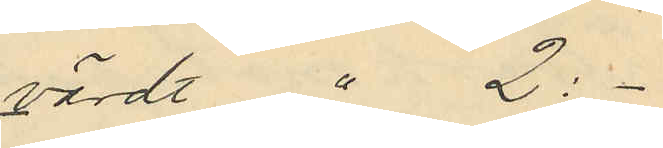värdt " 2:-
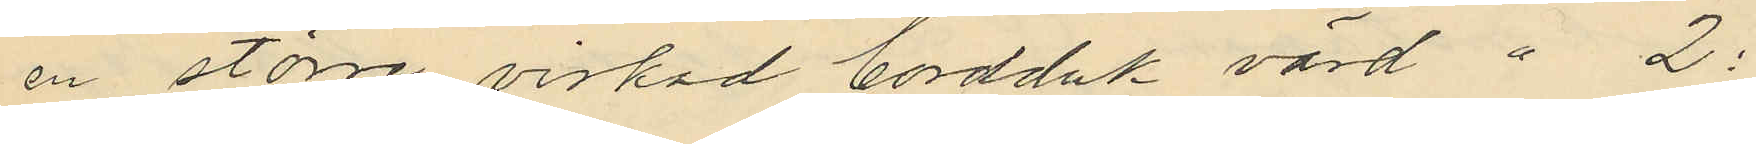en större virkad bordduk värd " 2:
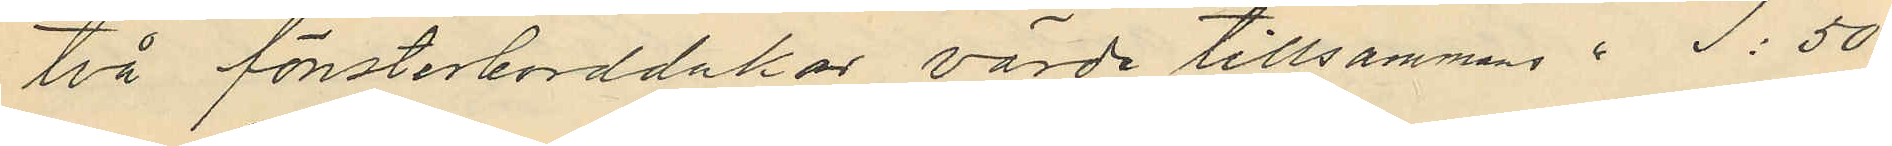två fönsterborddukar, värde tillsammans " 1:50
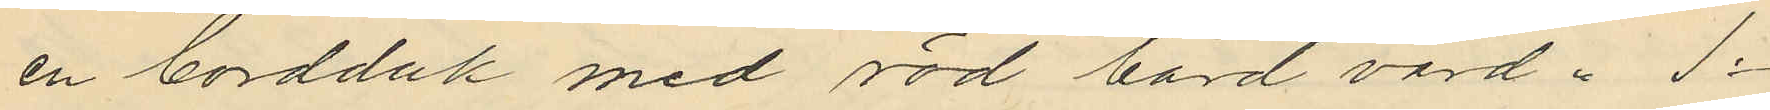en bordduk med röd bård värd " 1:
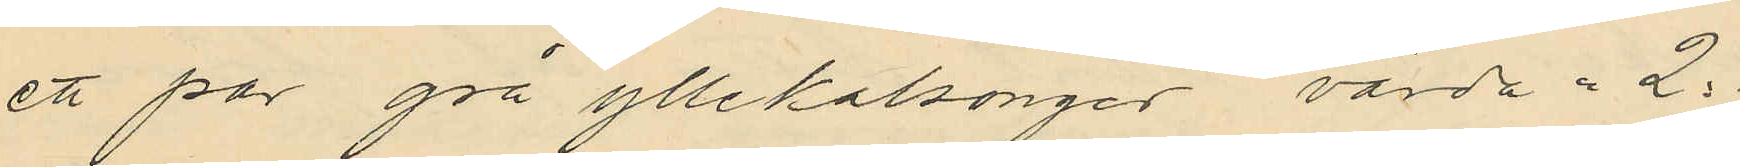ett par grå yllekalsonger, värda " 2:
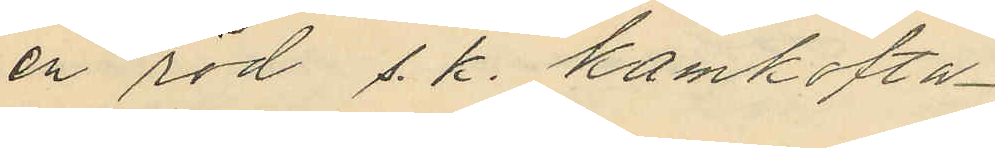en röd s. k. kamkofta
